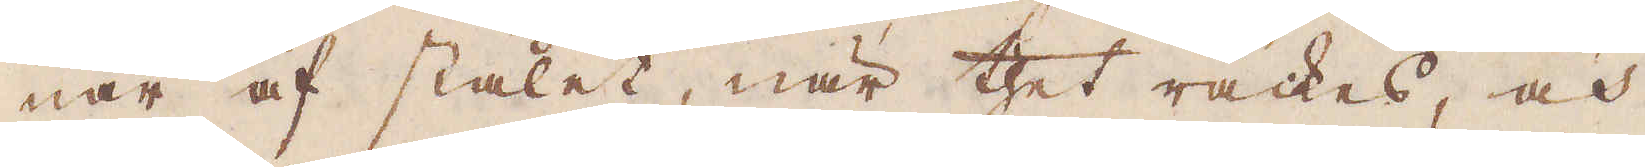nar af stålet, när thet räckes, och
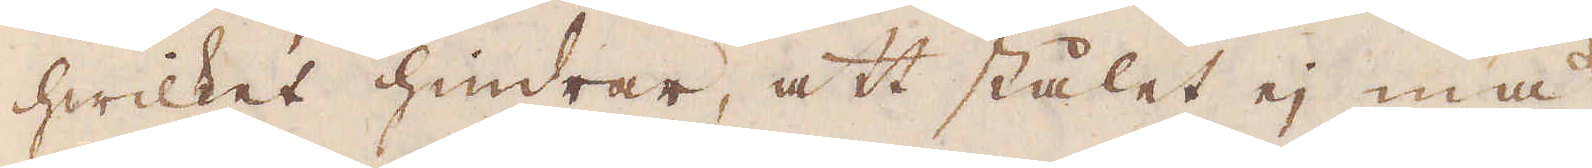hwilket hindrar, att stålet ej må
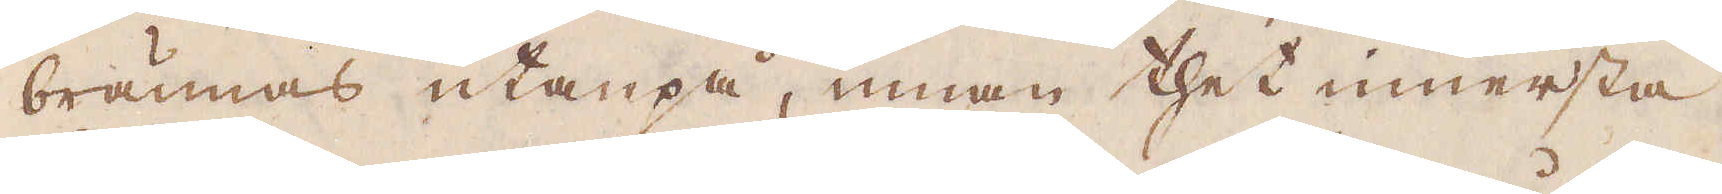brännas utanpå, innan thet innersta
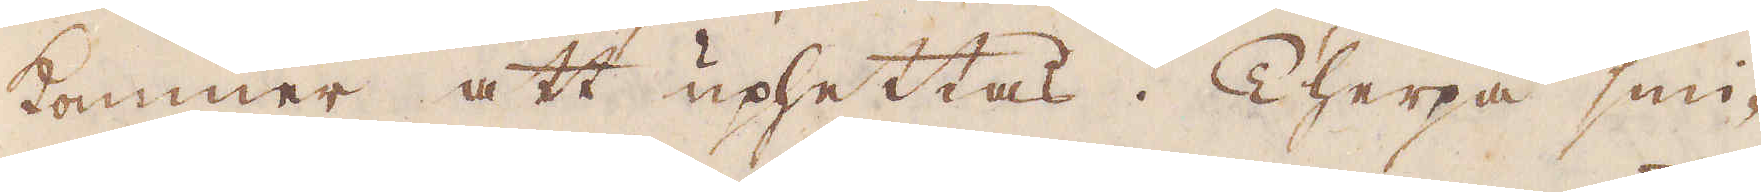kommer att uphettas. Therpå smi-
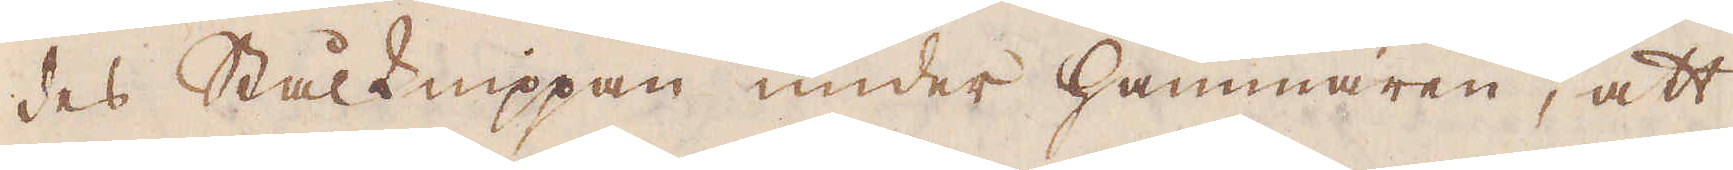des Stålknippan under hammaren, att
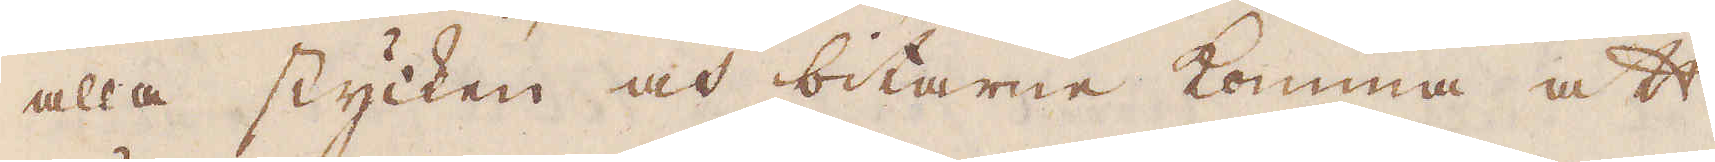alla stycken och bitarne komma att
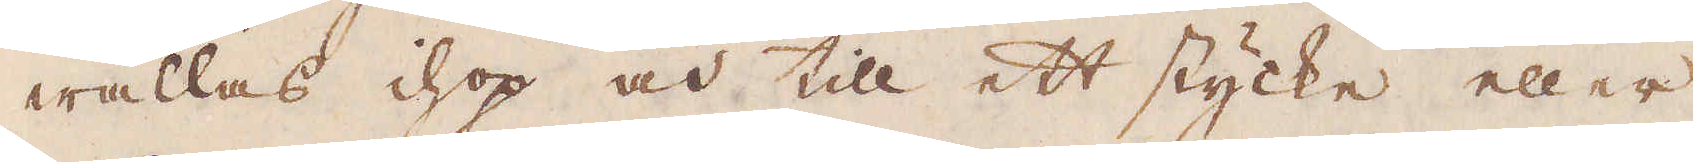wällas ihop och till ett stycke eller
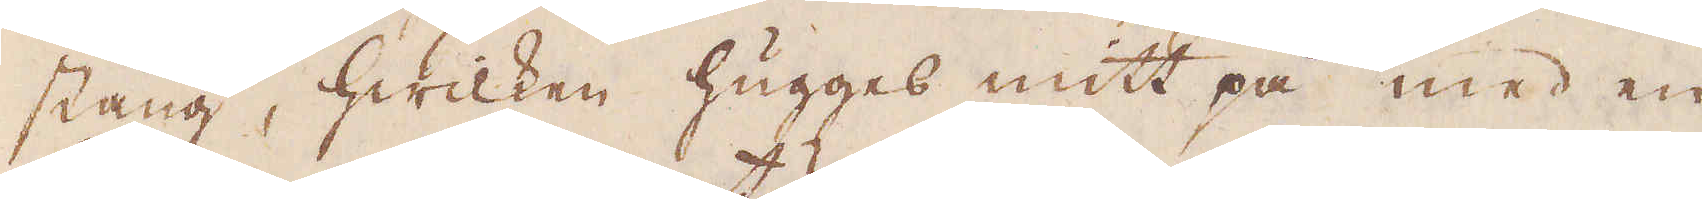stång, hwilken hugges mitt på med en
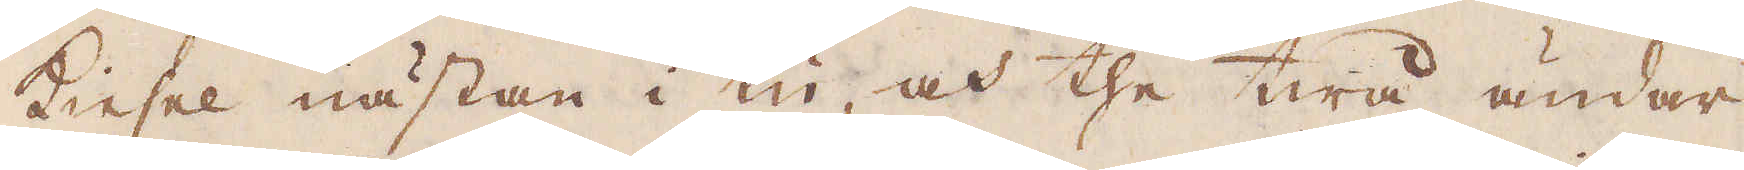Kiesel nästan i tu, och the twå ändar
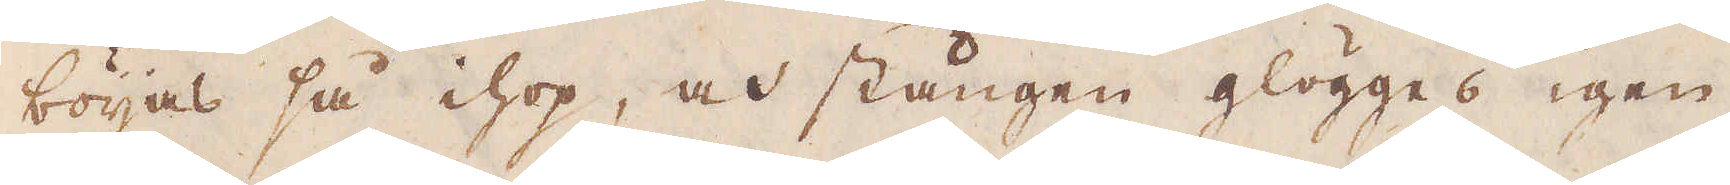böijas så ihop, och stången glögges igen,
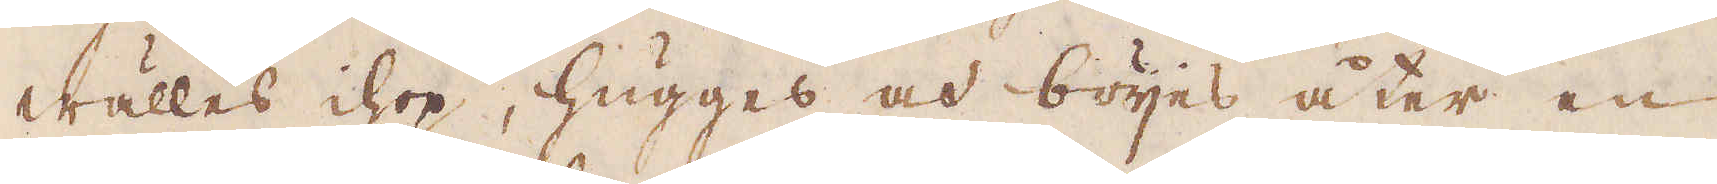wälles ihop, hugges och böijes åter en
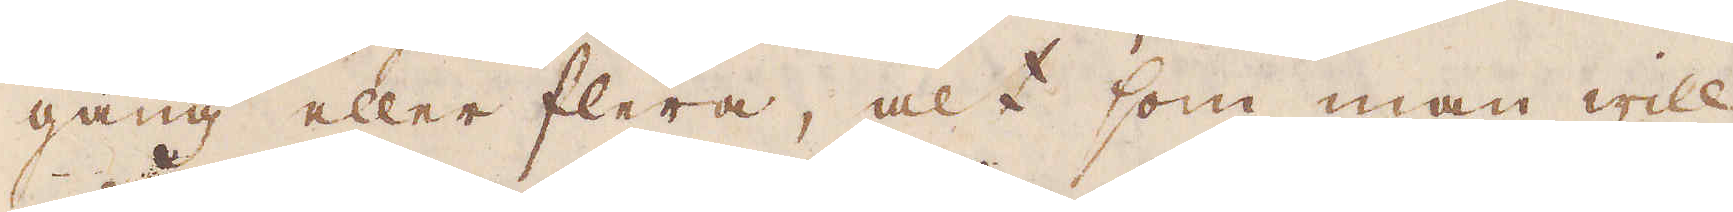gång eller flera, alt som man will
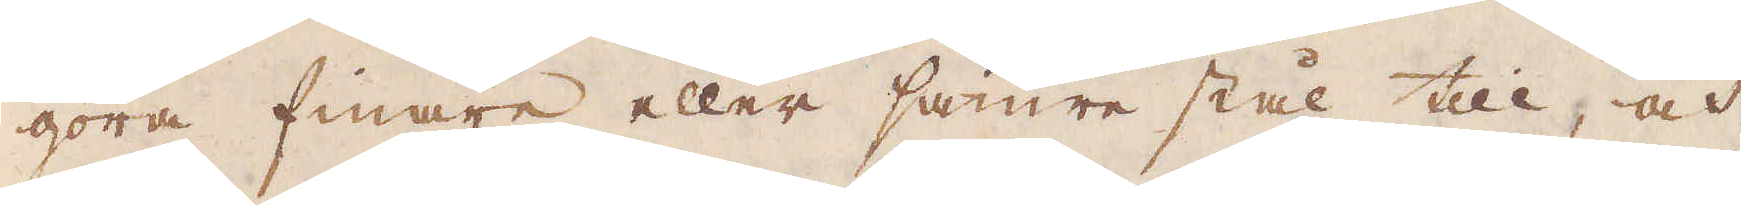göra finare eller sämre stål till, och
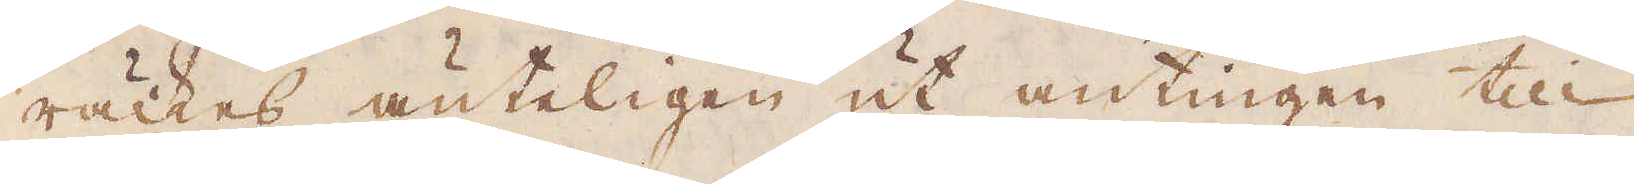räckes änteligen ut antingen till
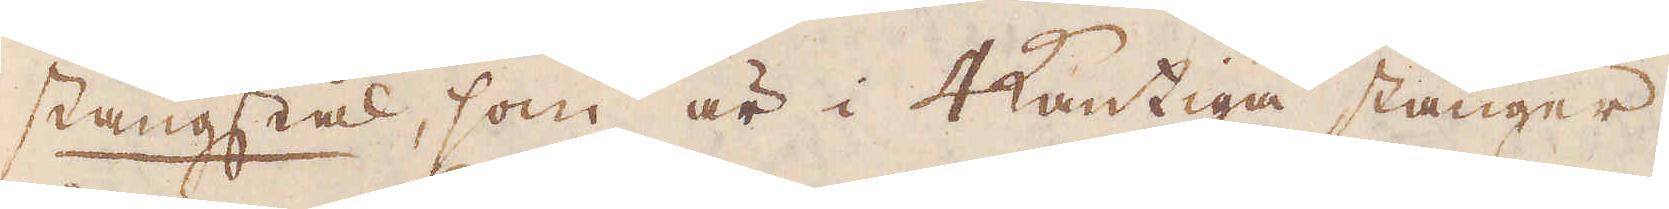stångstål, som är i 4kantiga stänger,
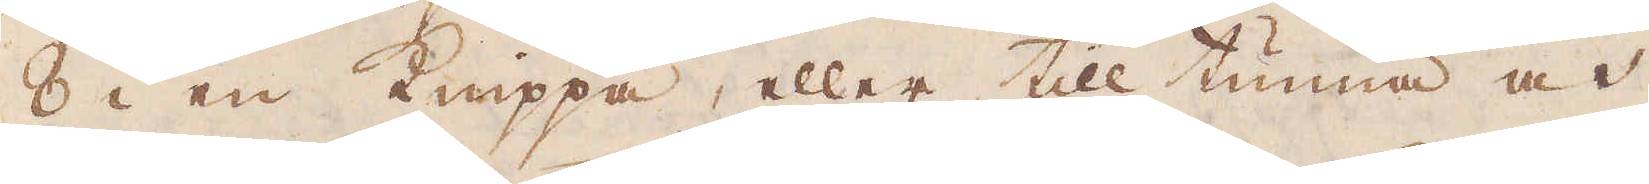8 i en Knippa, eller till tunna och
